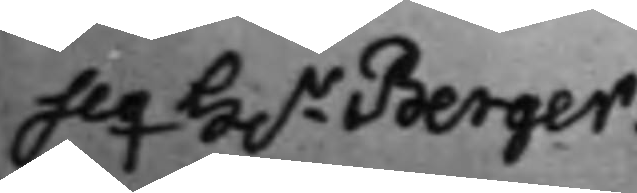Seq H.r Berger.
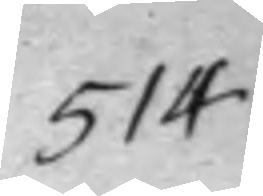514
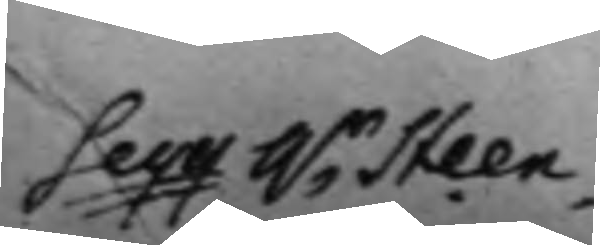Seqq h.r Steen
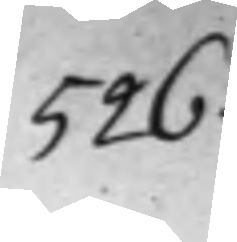526.
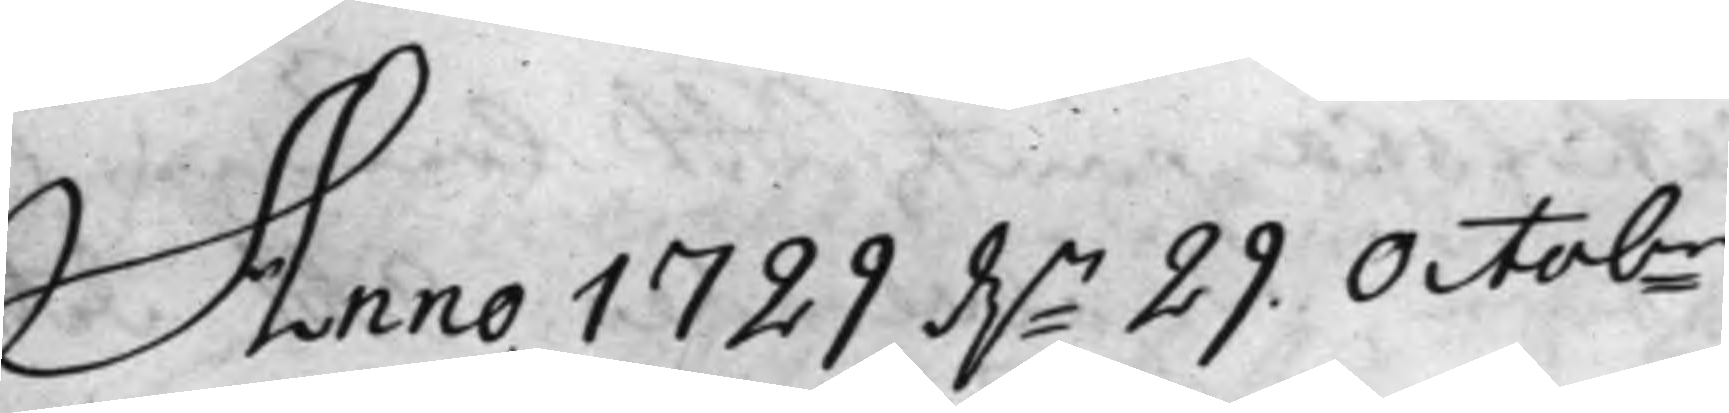Anno 1729 d.n 29 Octobr
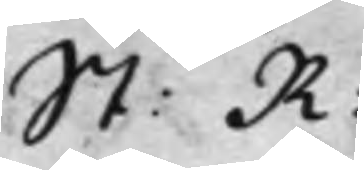St: R:
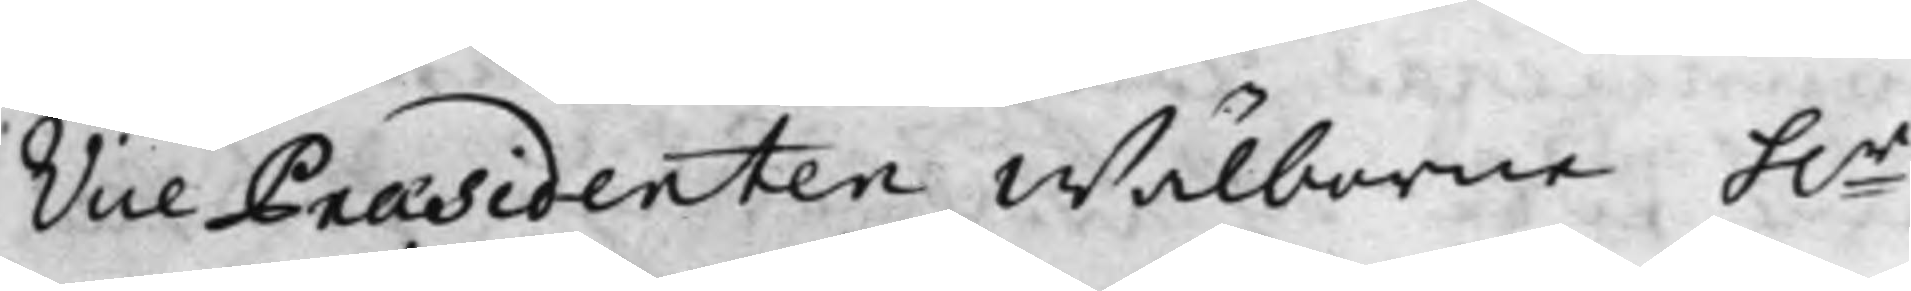Vice Præsidenten Wälborne h.r
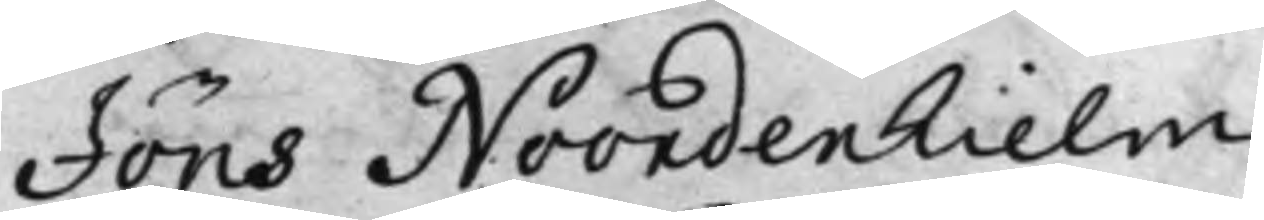Jöns Noordenhielm,
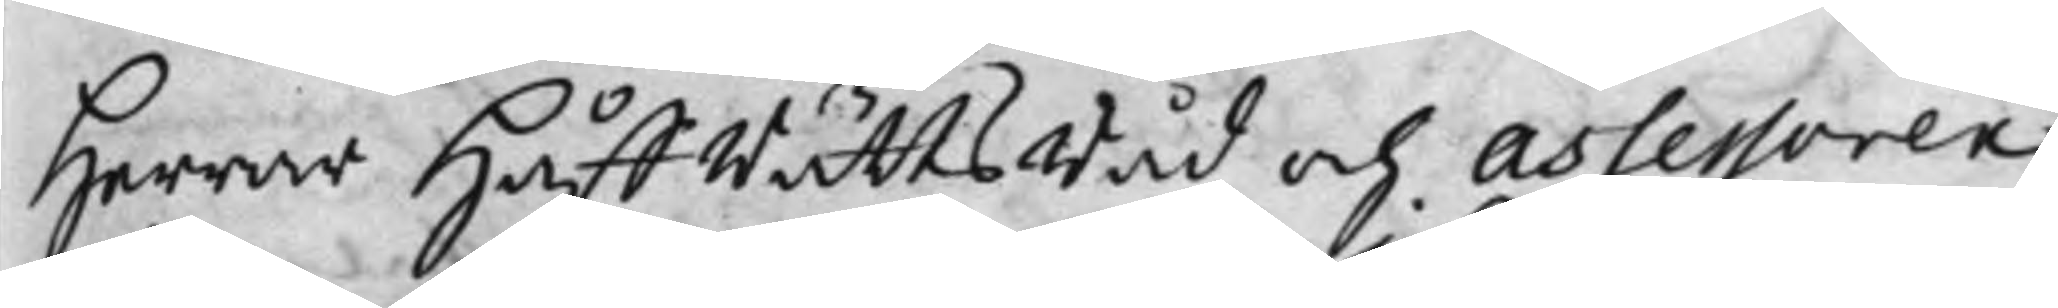Herrar HåffRättsRåd och Assessorer
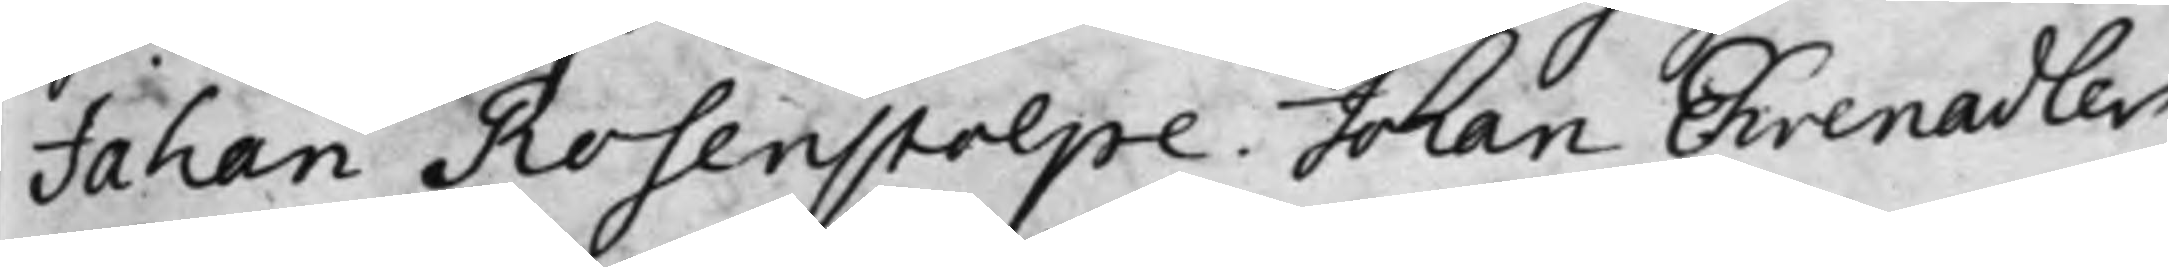Johan Rosenstolpe, Johan Ehrenadler
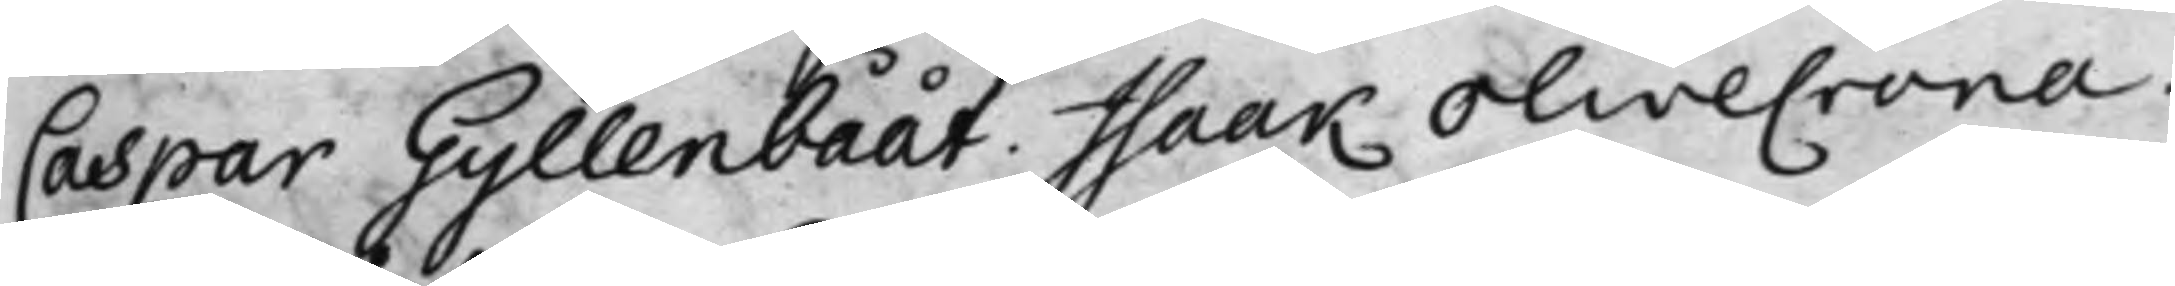Caspar Gyllenbååt. Isaak Olivecrona.
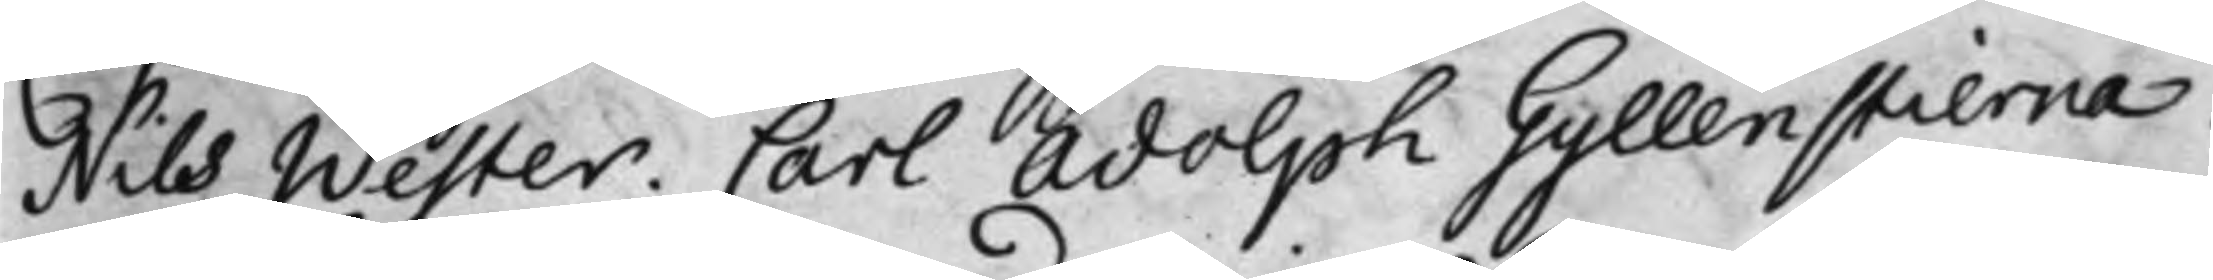Nils Wester. Carl Adolph Gyllenstierna.
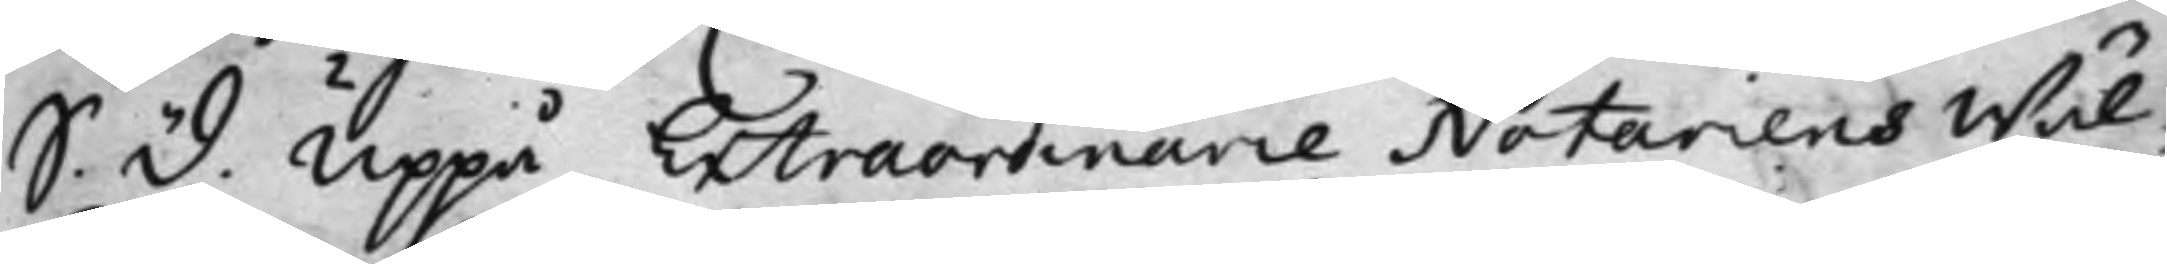S. D. Uppå Extraordinarie Notariens Wäl¬
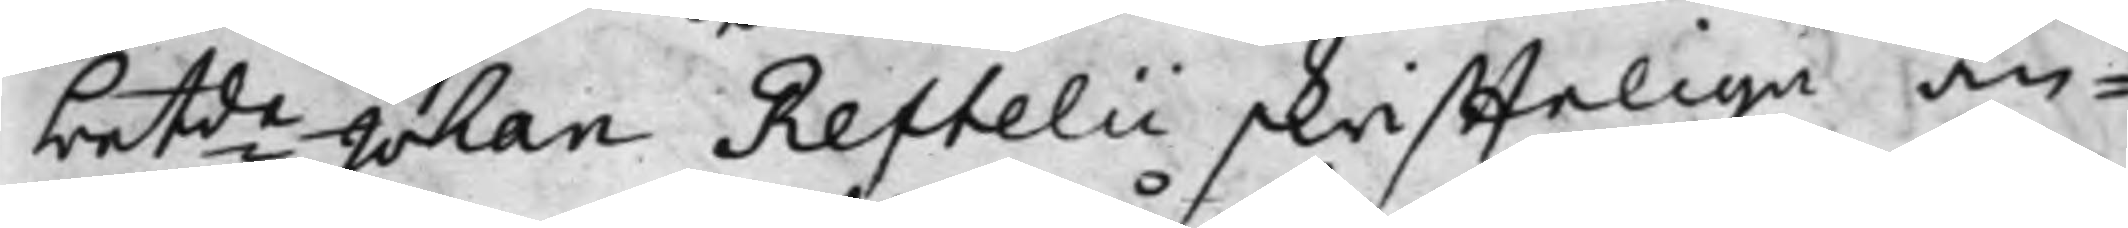betde Johan Reftelii skriffteliga an¬
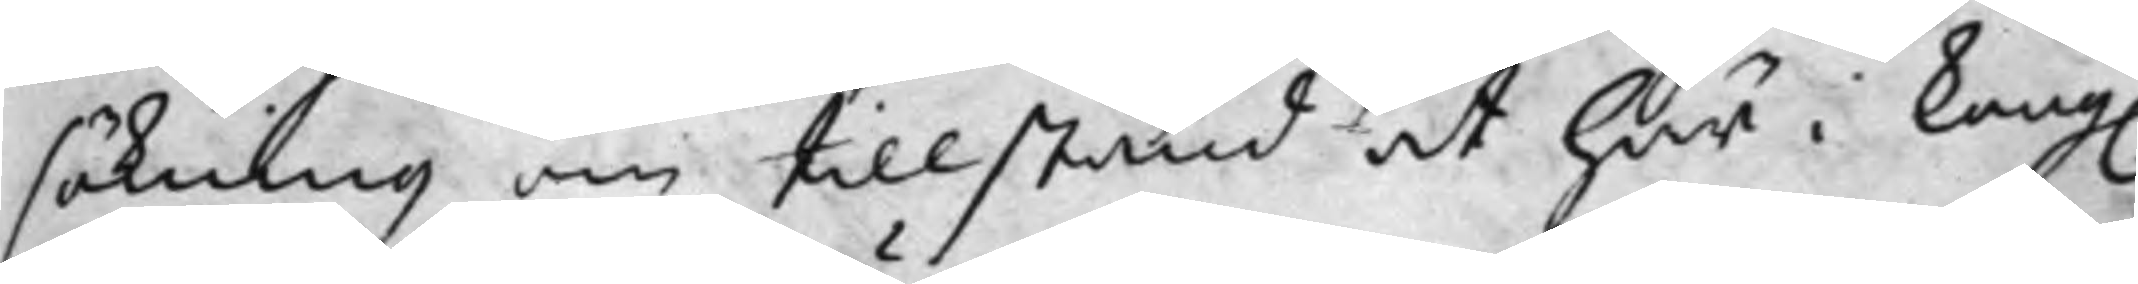sökning om tillstånd at här i Kong.
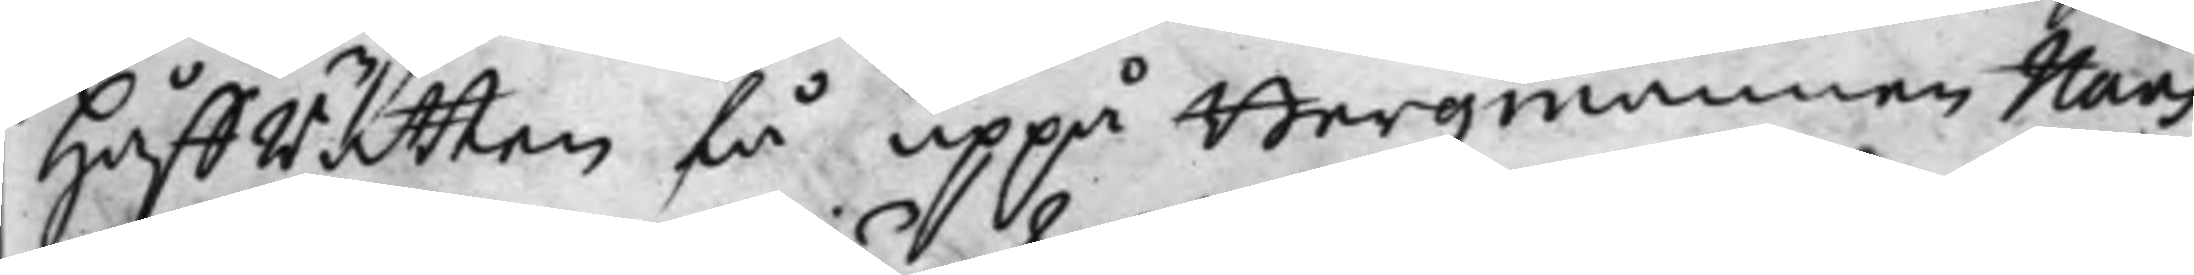HåffRätten få uppå Bergzmannen Hans
